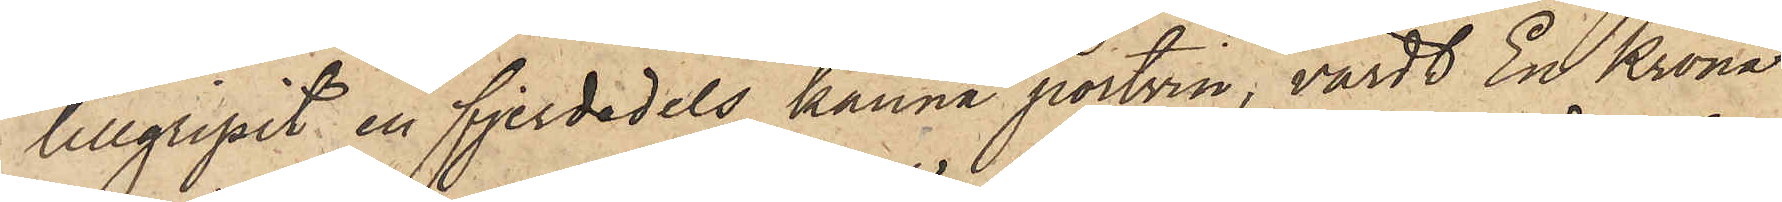tillgripit en fjerdedels kanna portvin, värdt En Krona
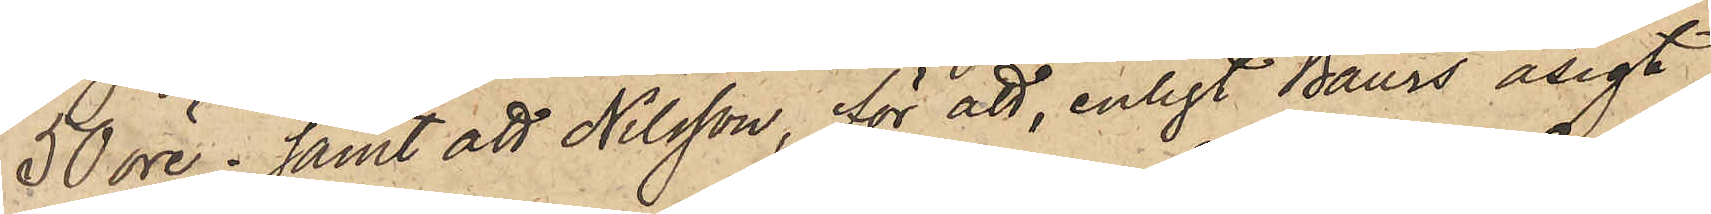50 öre; samt att Nilsson, för att, enligt Baurs åsigt,
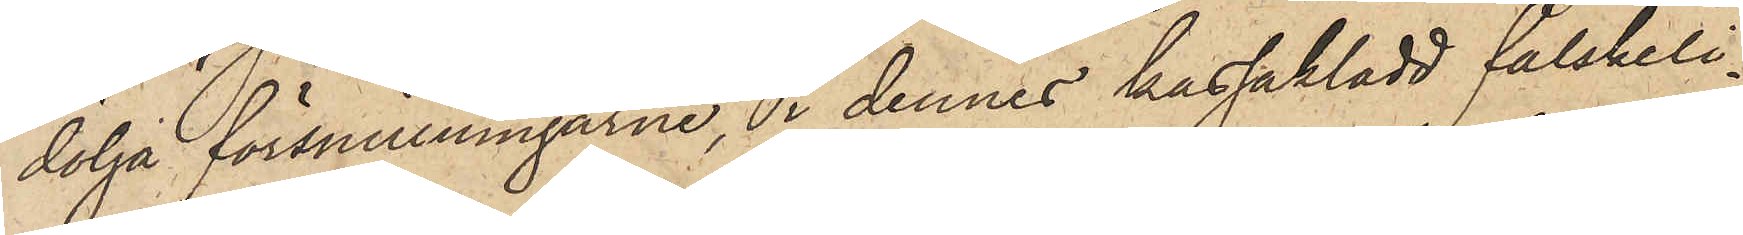dölja försvinningarne, i dennes kassakladd falskeli¬
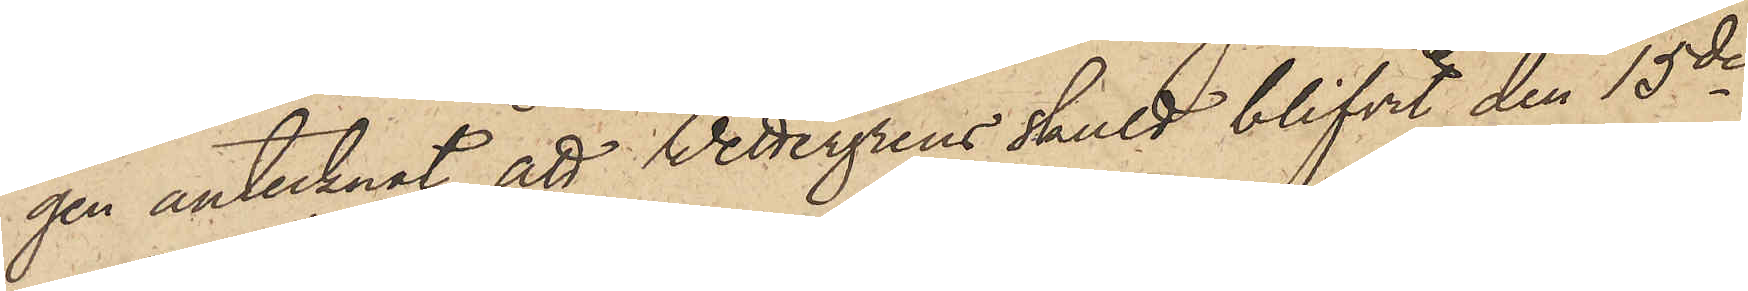gen antecknat, att Wettergrens skuld blifvit den 15de
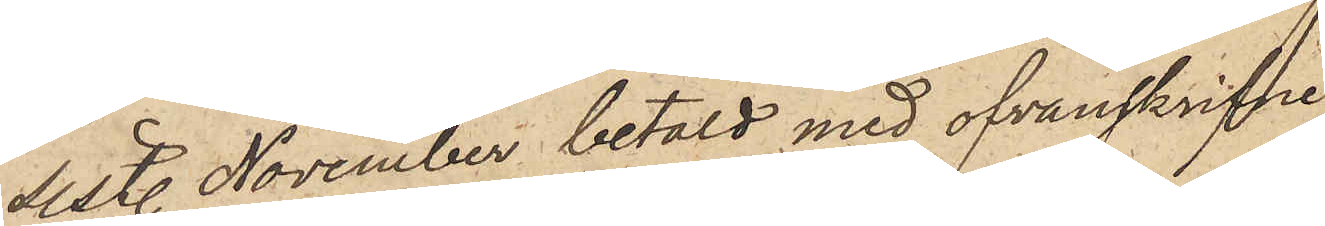sist. November betald med ofvanskrifne
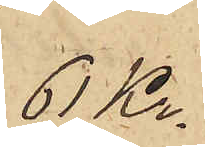61 Kr.
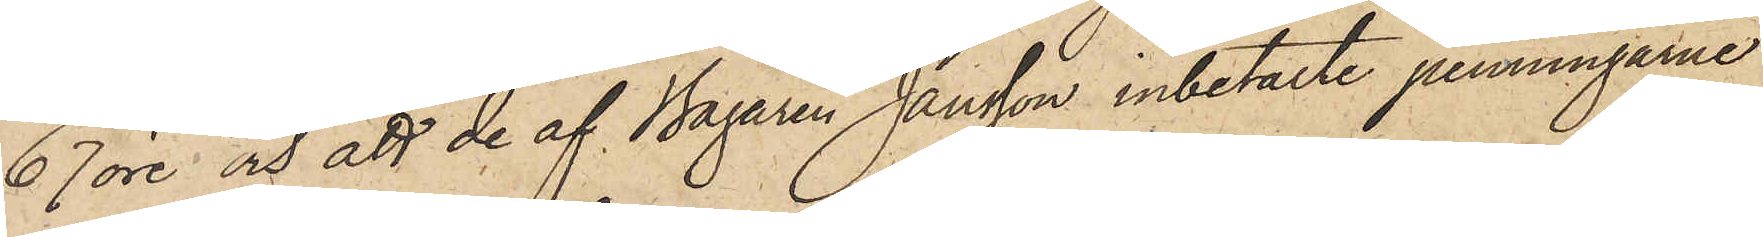67 öre; och att de af Bagaren Jansson inbetalte penningarne
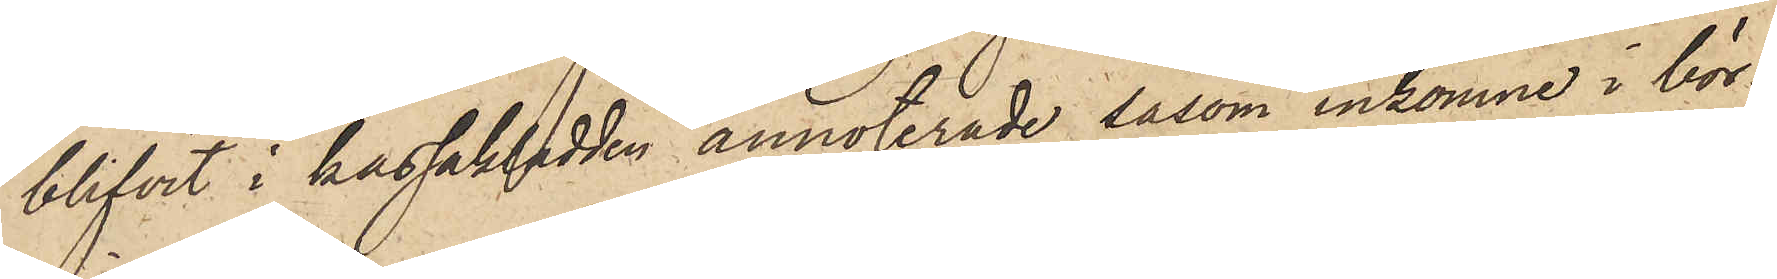blifvit i kassakladden annoterade såsom inkomne i bör¬
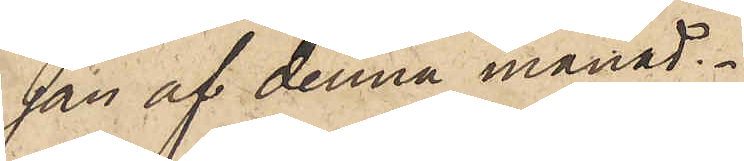jan af denna månad.
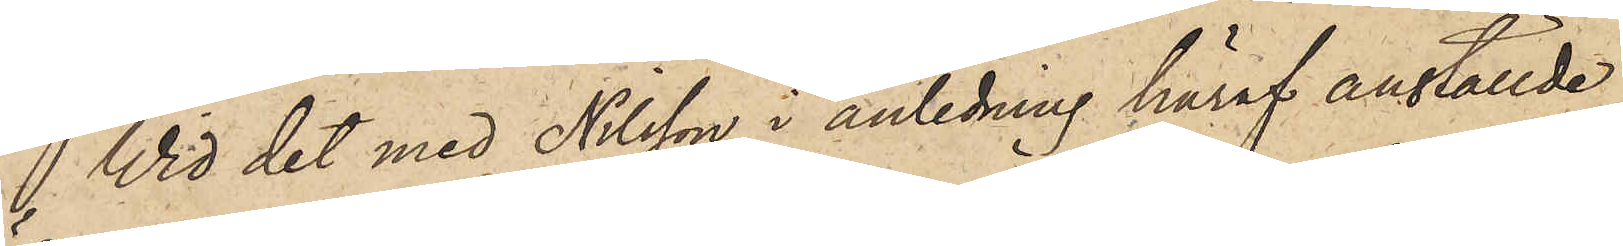Vid det med Nilsson i anledning häraf anställde
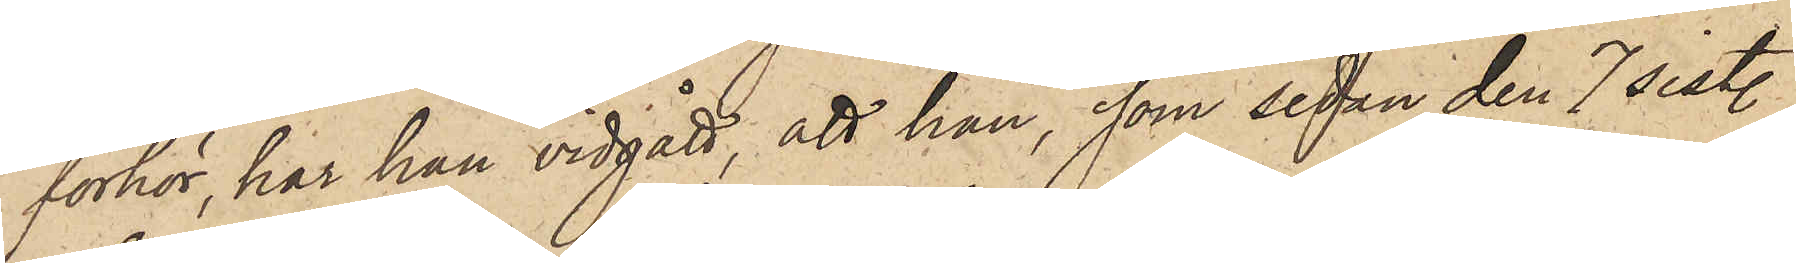förhör, har han vidgått, att han, som sedan den 7 sist.
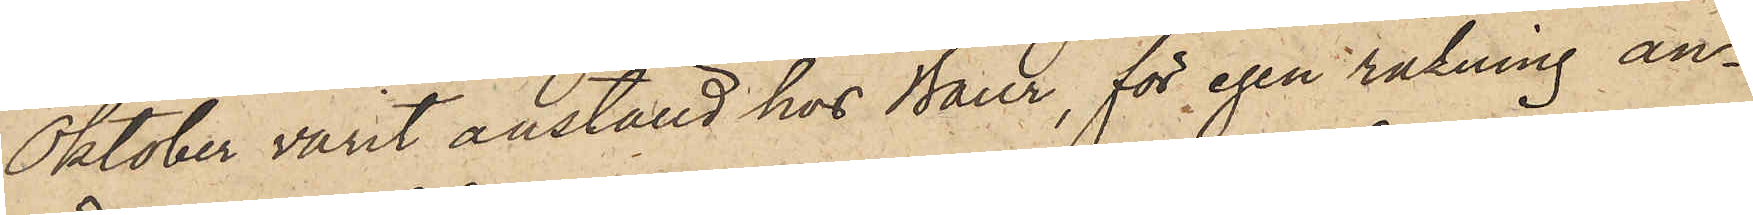Oktober varit anställd hos Baur, för egen räkning an¬
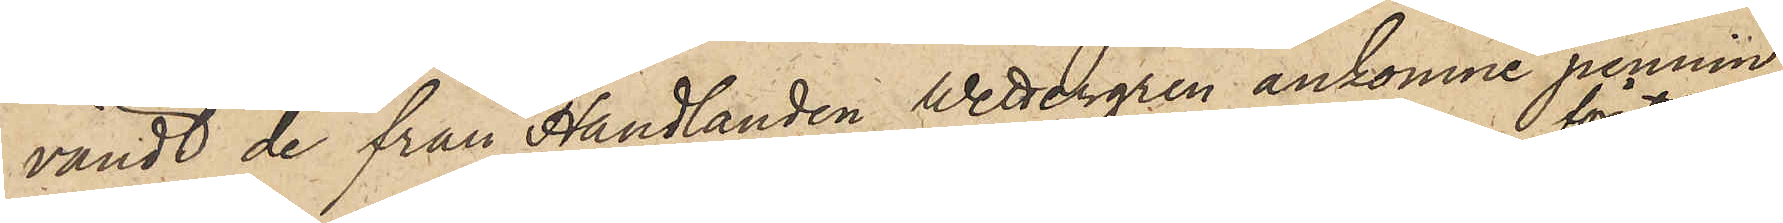vändt de från Handlanden Wettergren ankomne pennin¬
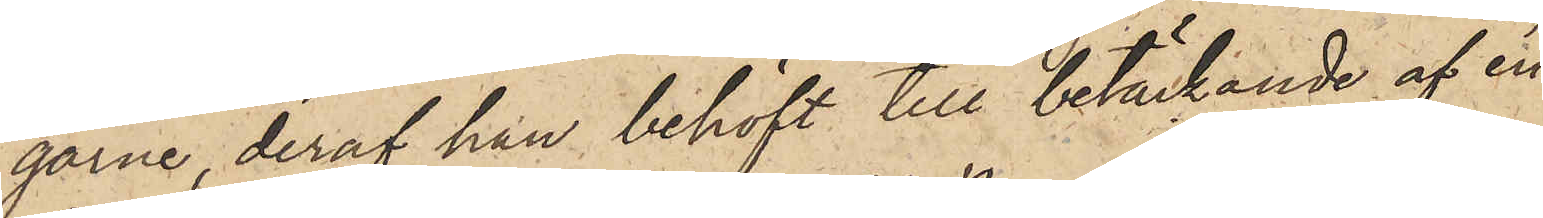garne, deraf han behöft till betäckande af en
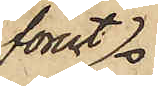förut
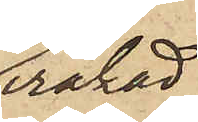iråkad
